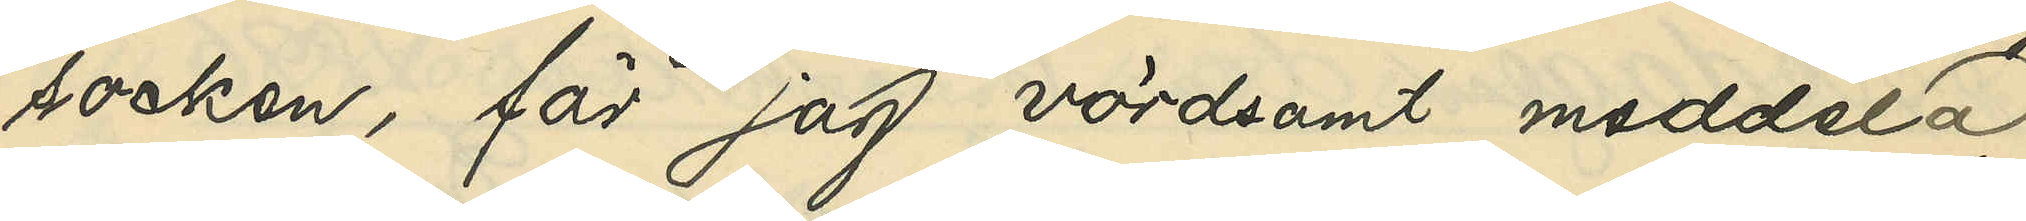socken, får jag vördsamt meddela,
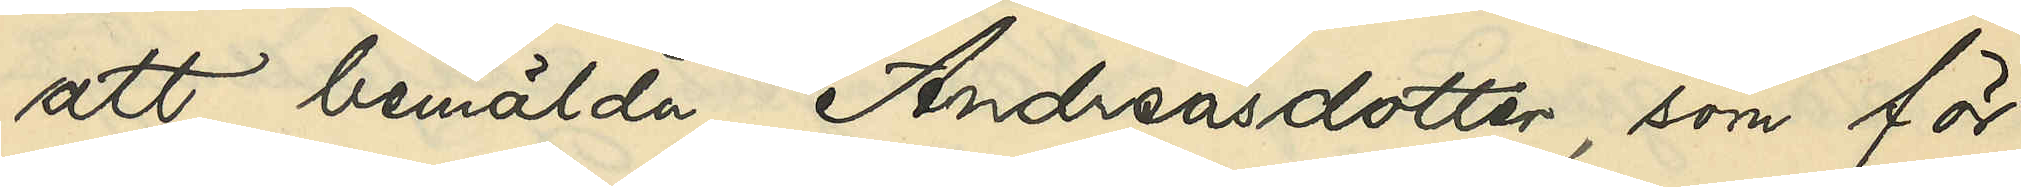att bemälda Andreasdotter, som för
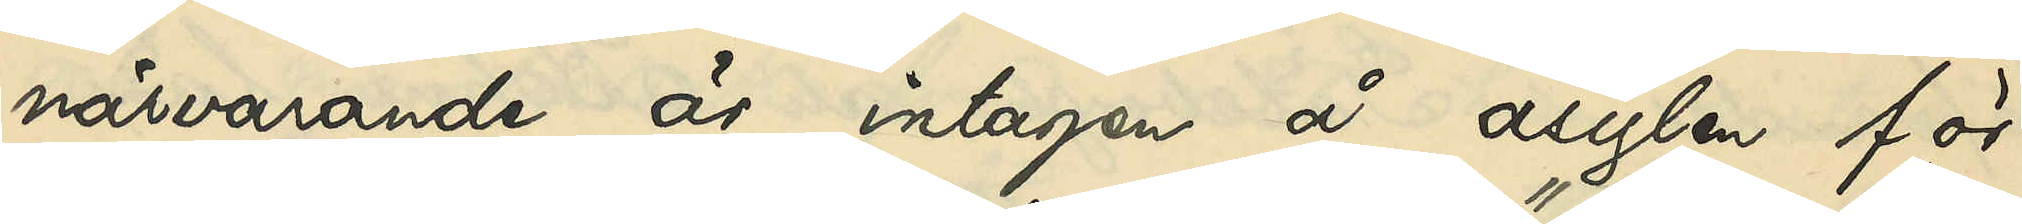närvarande är intagen å asylen för
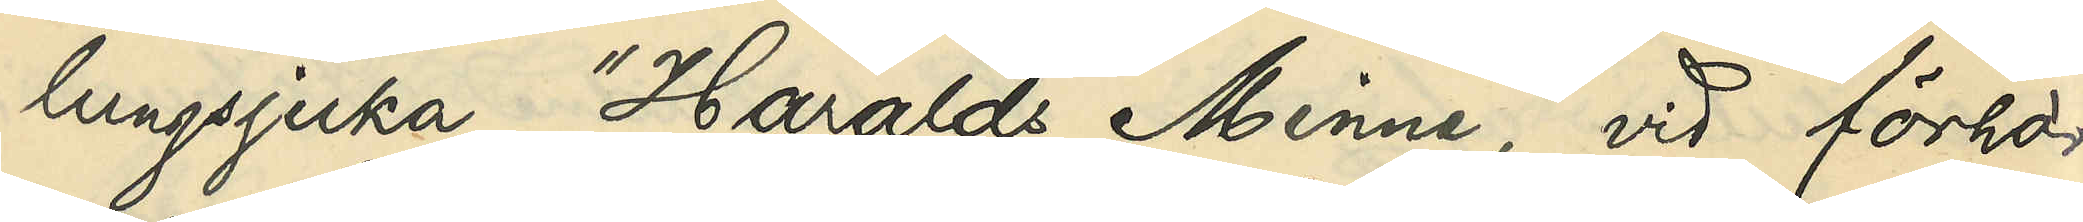lungsjuka "Haralds Minne", vid förhör
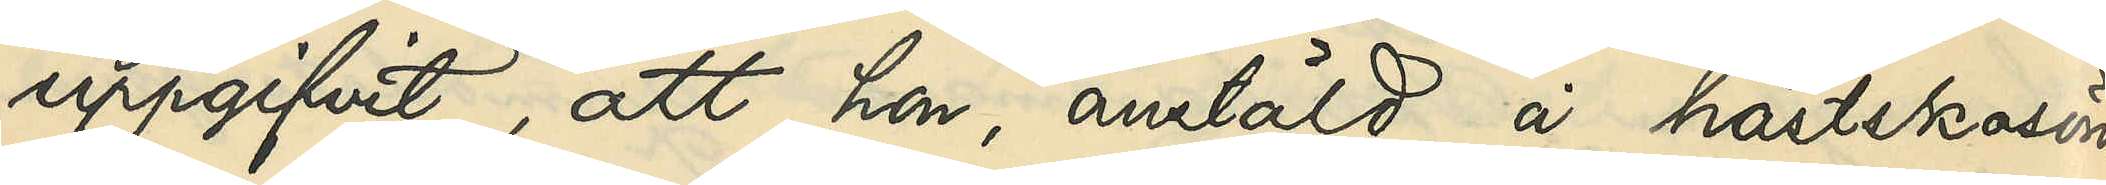uppgifvit, att hon, anstäld å hästskosöm¬
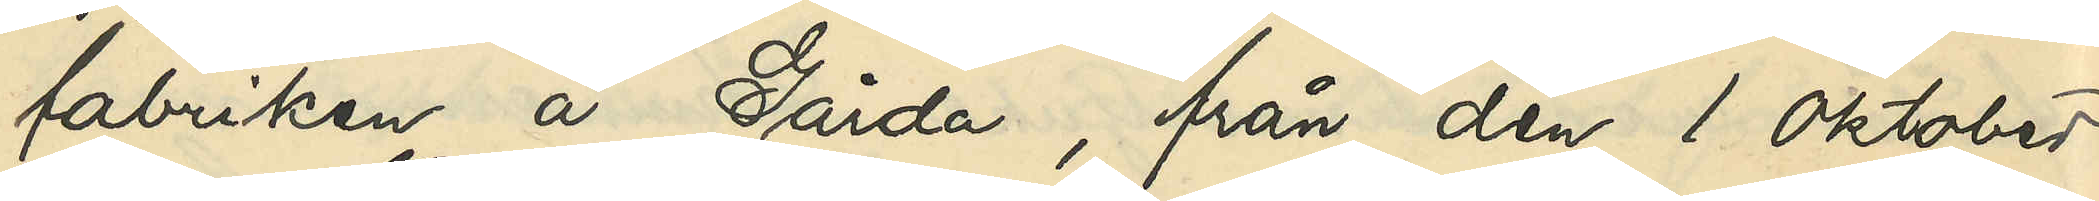fabriken å Gårda, från den 1 Oktober
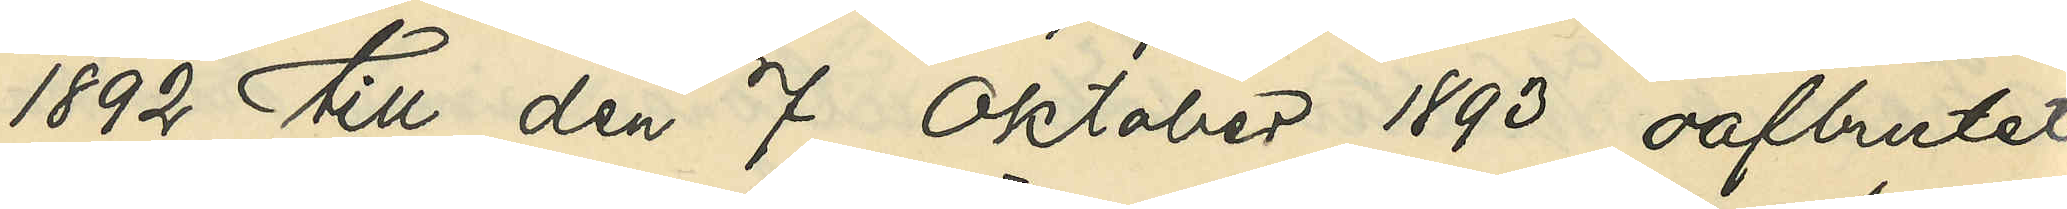1892 till den 7 Oktober 1893 oafbrutet
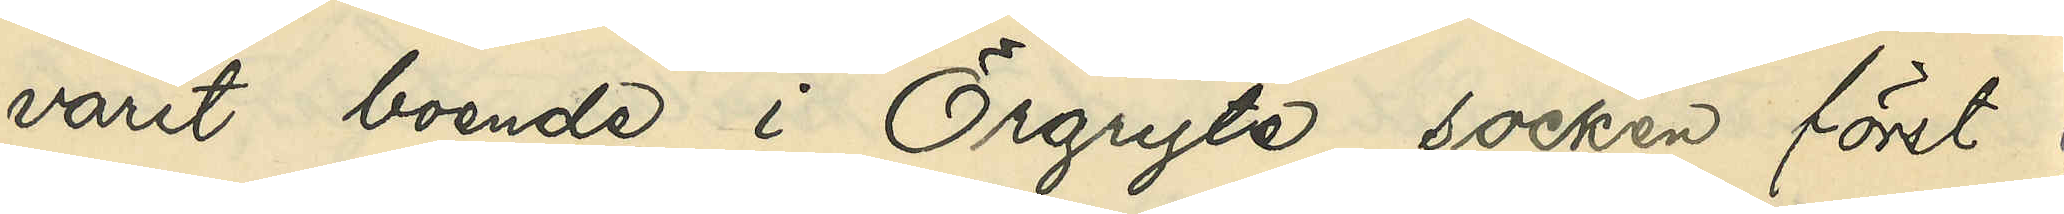varit boende i Örgryte socken först
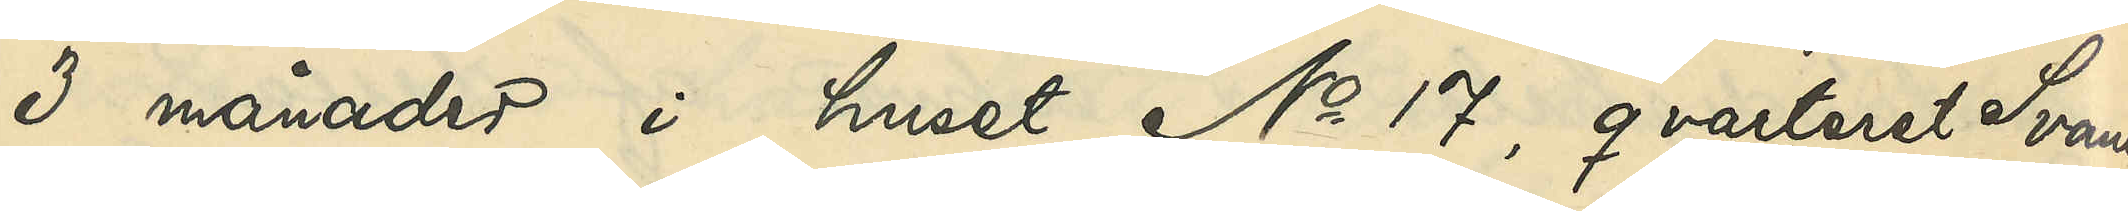3 månader i huset No 17, qvarteret Svanen
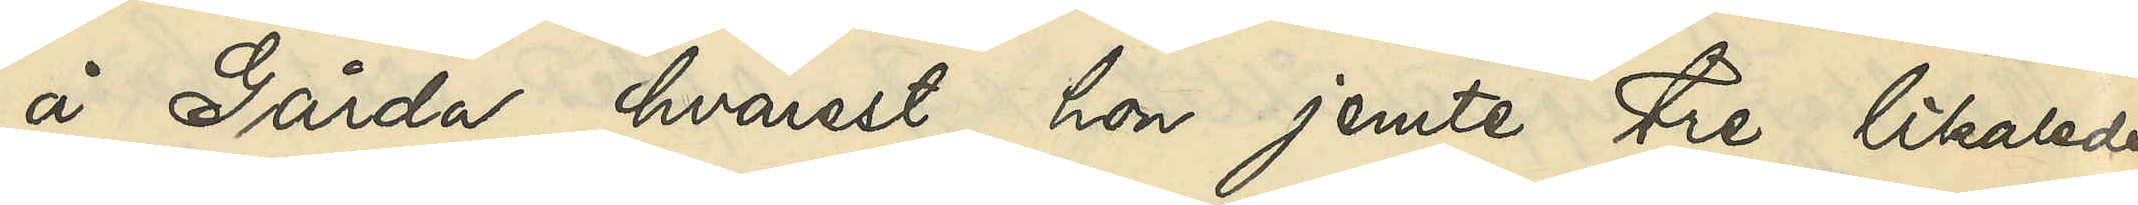å Gårda, hvarest hon jemte tre likaledes
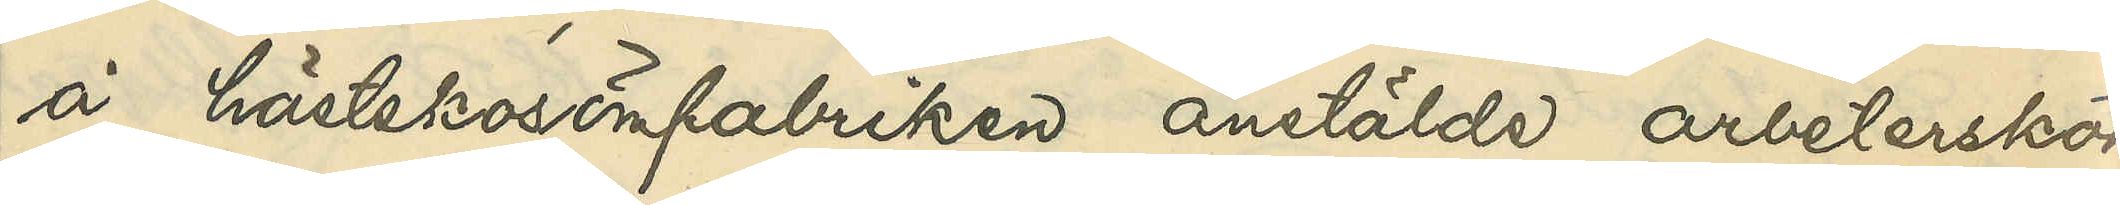å hästskosömfabriken anstälda arbeterskor
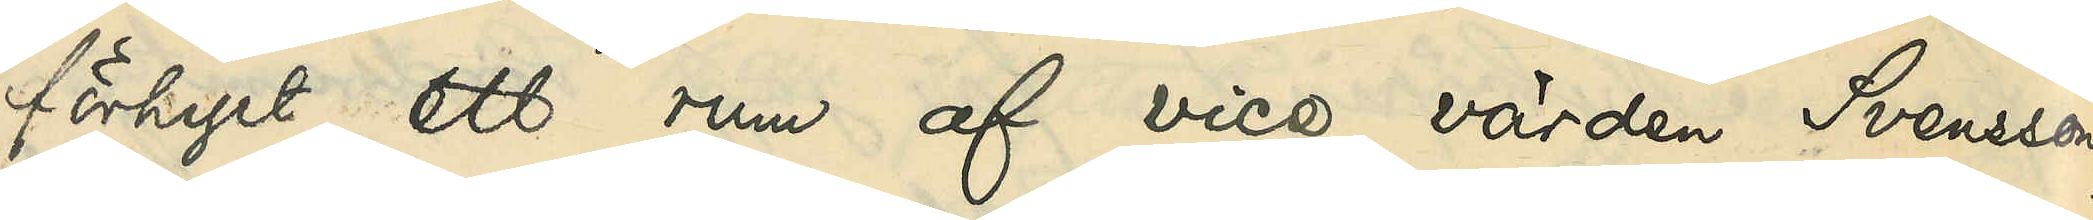förhyrt ett rum af vice värden Svensson,
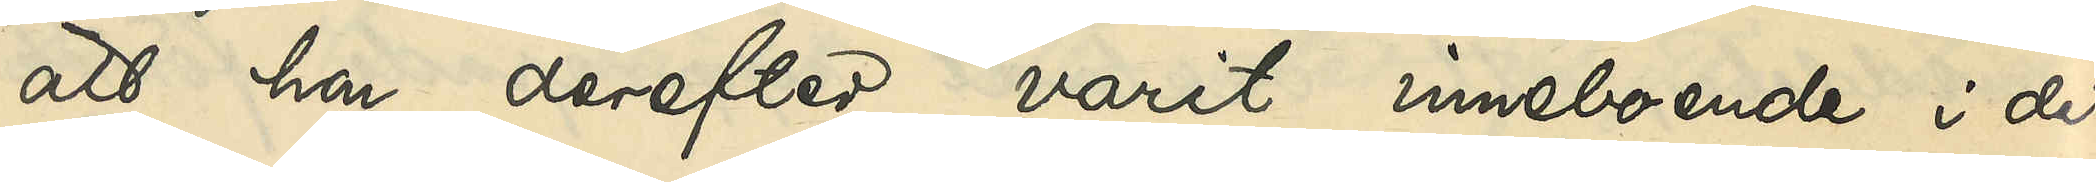att hon derefter varit inneboende i det
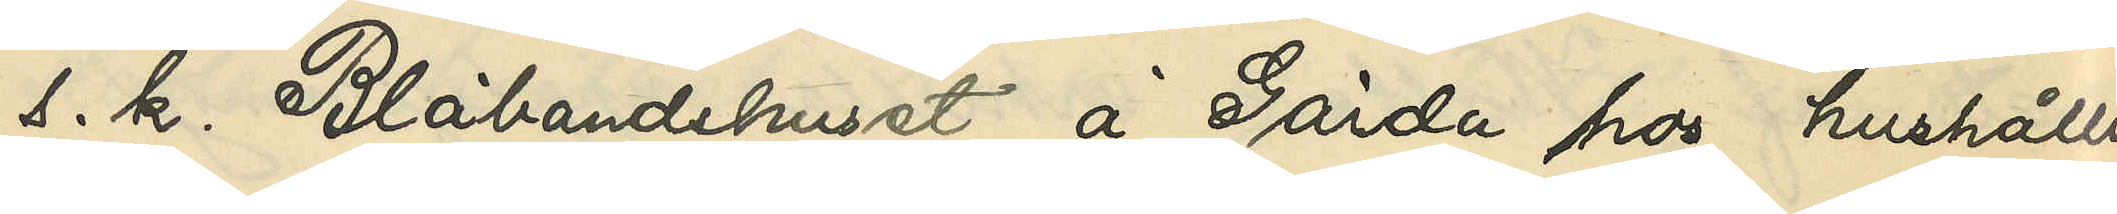s. k. Blåbandshuset å Gårda hos hushåller¬
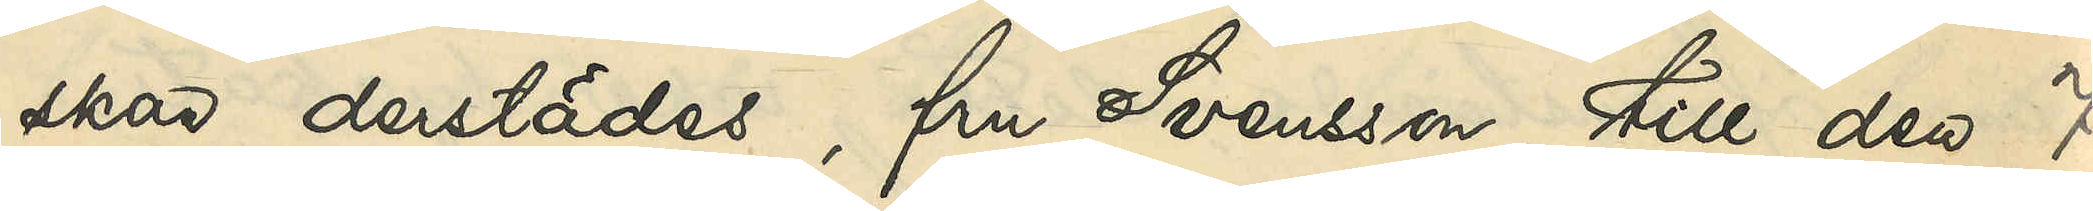skan derstädes, fru Svensson, till den 7
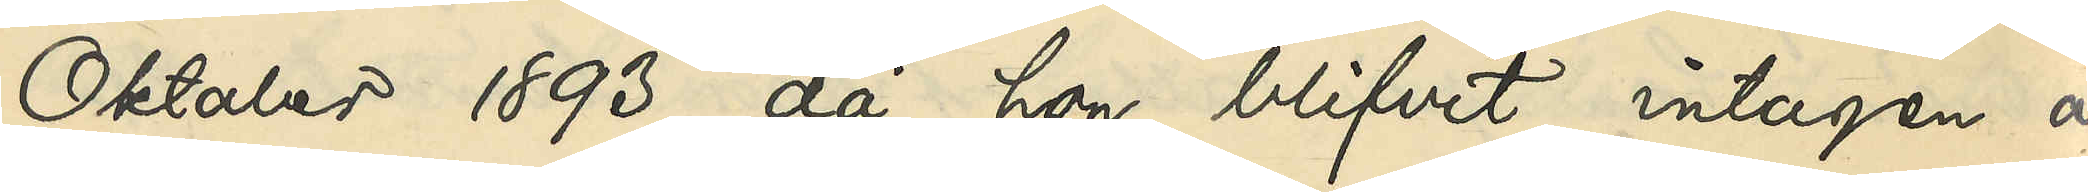Oktober 1893, då hon blifvit intagen å
